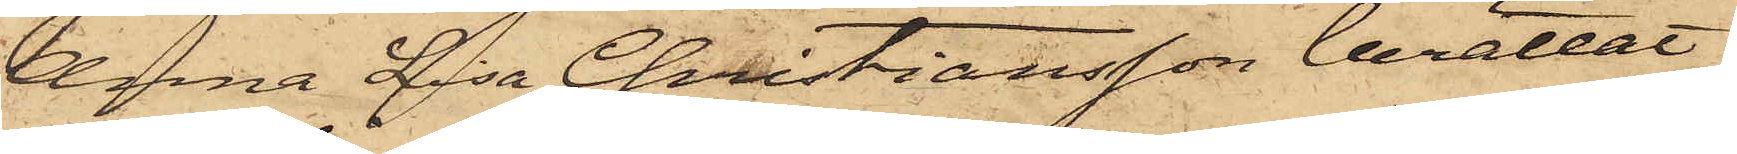Anna Lisa Christiansson berättat,
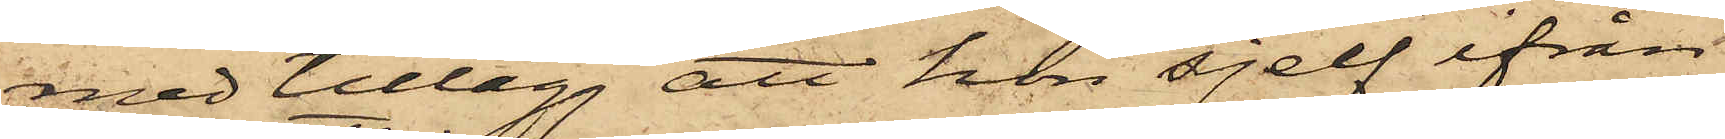med tillägg att hon sjelf ifrån
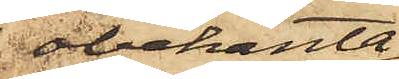obekanta
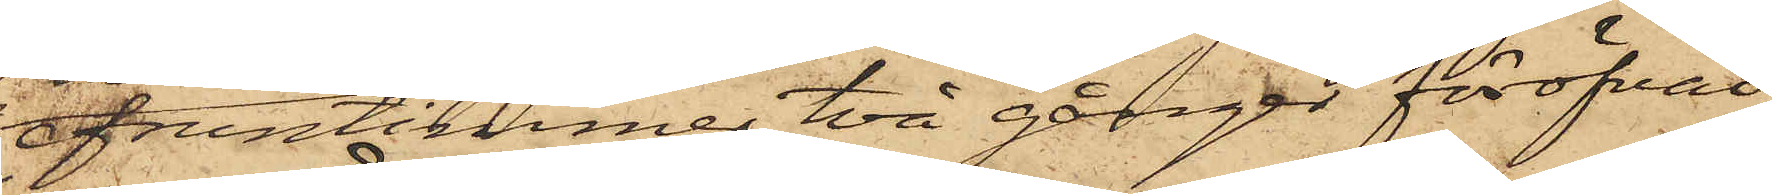fruntimmer två gånger föröfvat
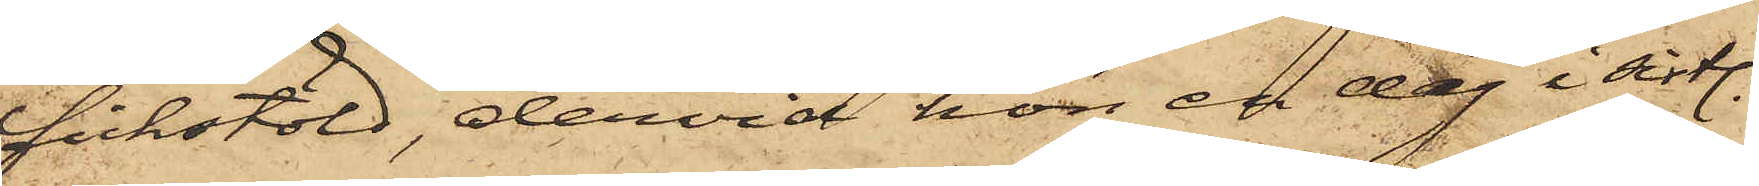fickstöld, dervid hon en dag i sistl.
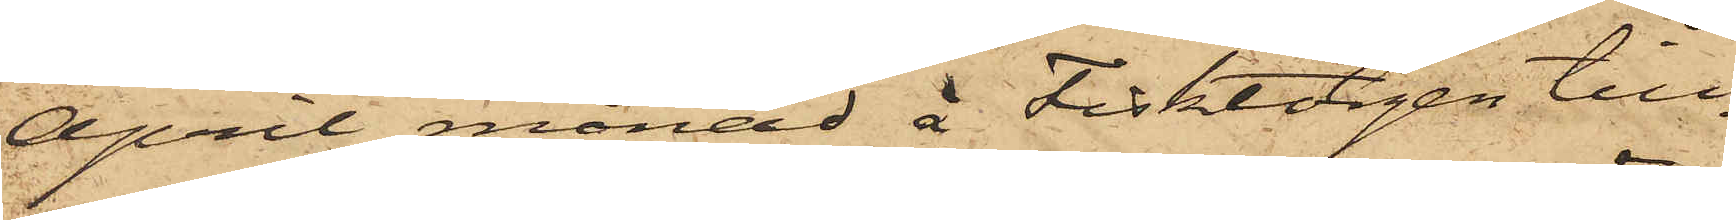April månad å Fisktorgen till¬
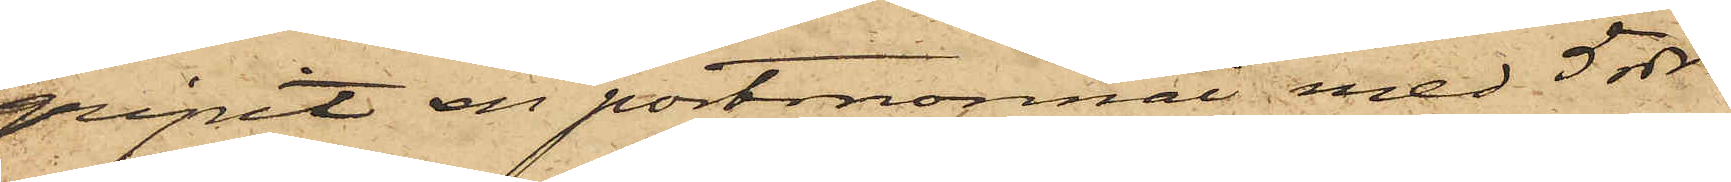gripit en portmonnai med 5 rdr
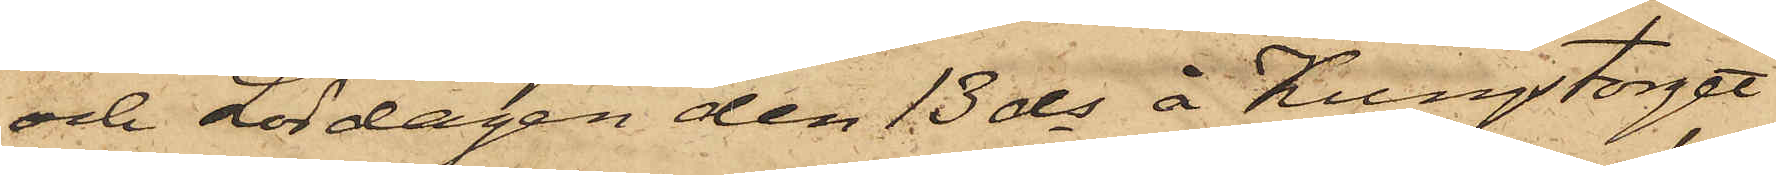och Lördagen den 13 ds å Kungstorget
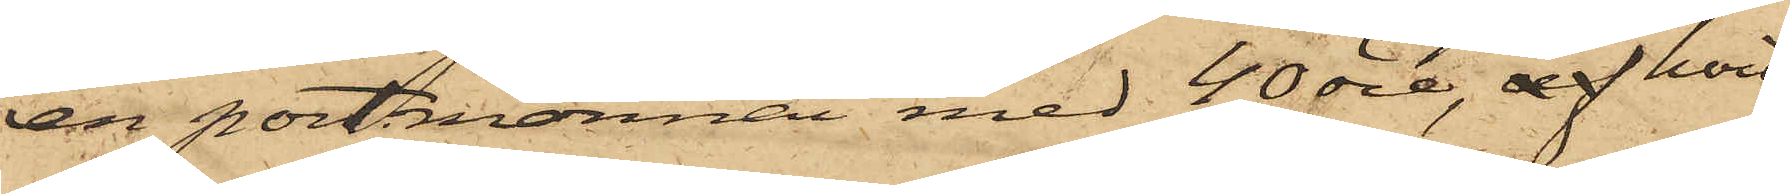en portmonnai med 40 öre, af hvil¬
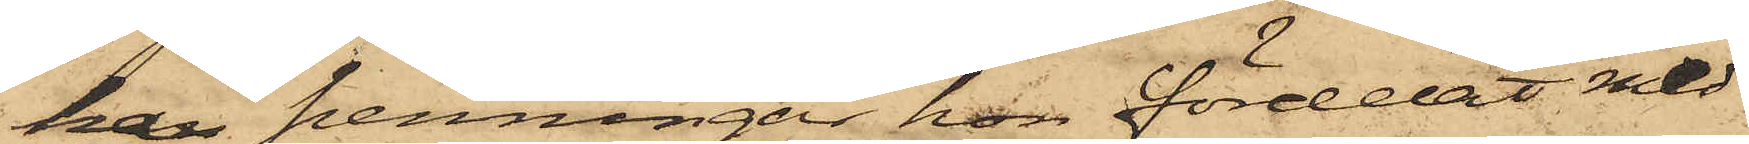ka penningar hon fördelat med
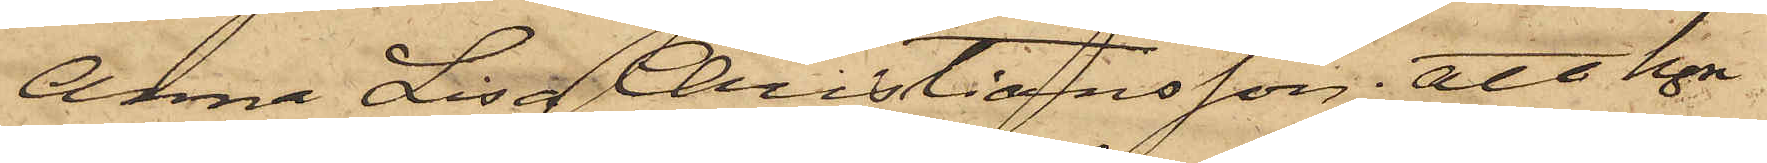Anna Lisa Christiansson, att hon
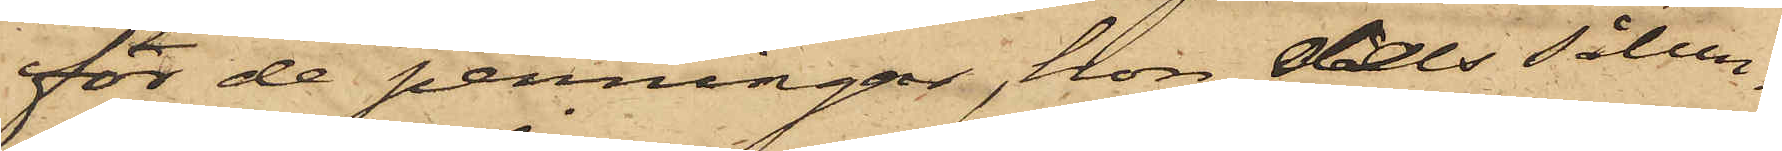för de penningar, hon dels sålun¬
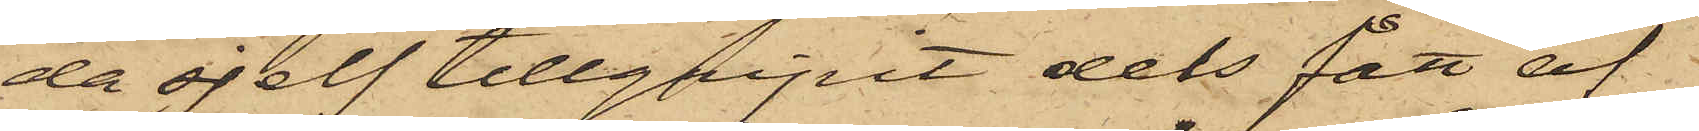da sjelf tillgripit dels fått af
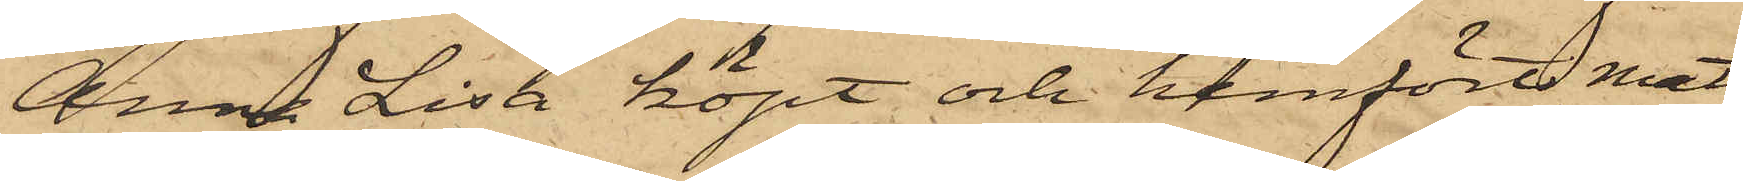Anna Lisa köpt och hemfört mat
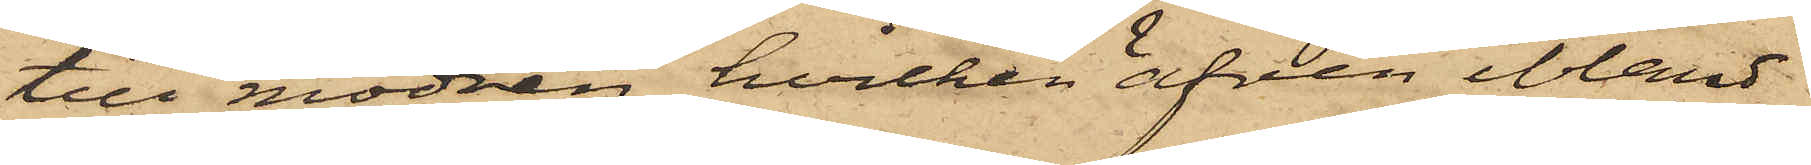till modren, hvilken äfven bland
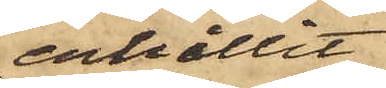erhållit
